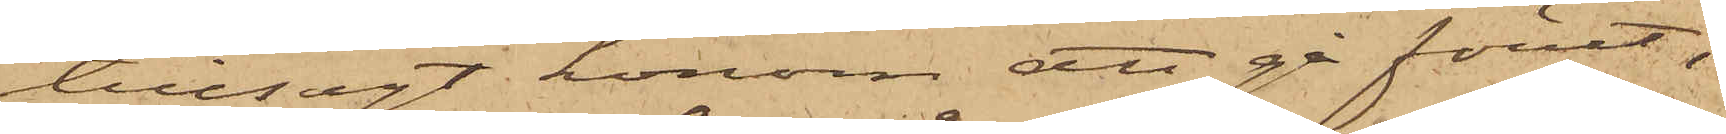tillsagt honom att gå förut;
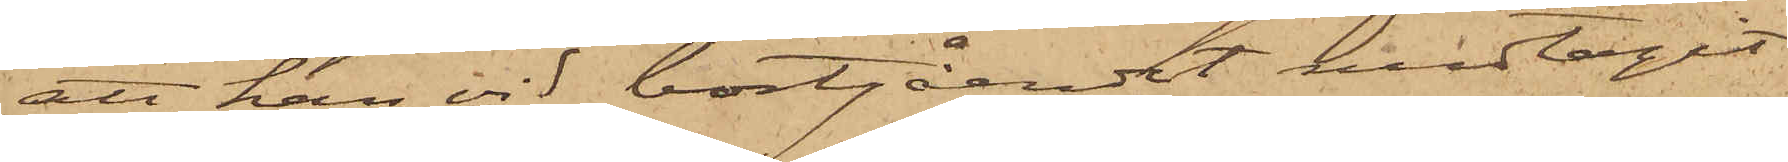att han vid bortgåendet medtagit
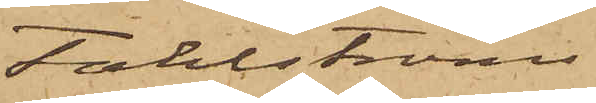Fahlströms
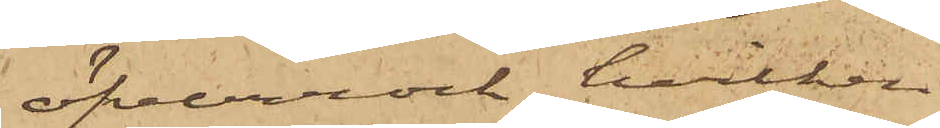öfverrock, hvilken
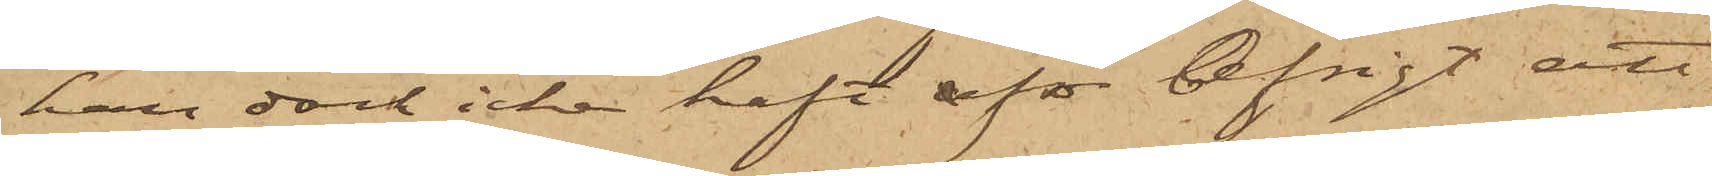han dock icke haft aför afsigt att
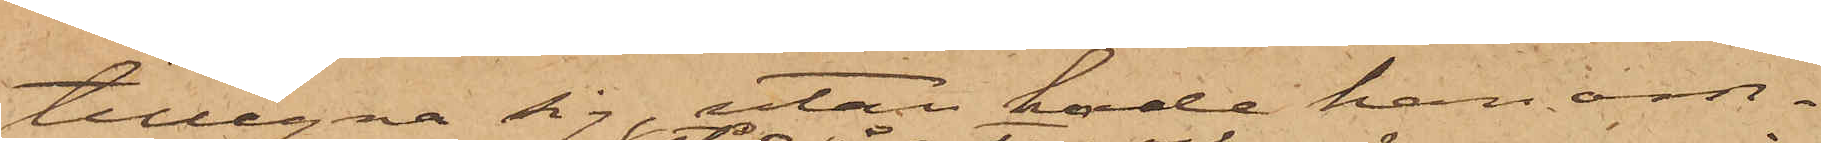tillegna sig utan hade han om¬
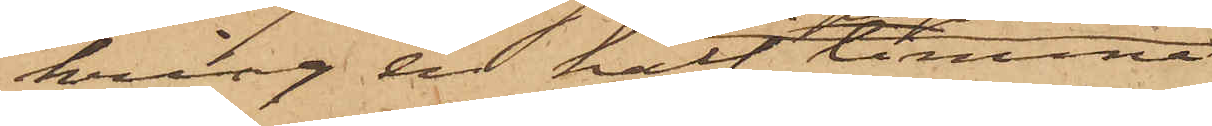kring en half timme
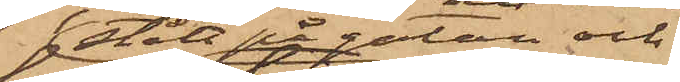stått på gatan och
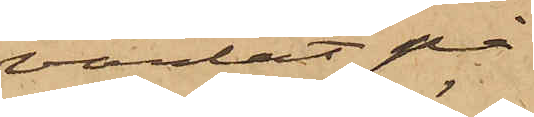väntat på
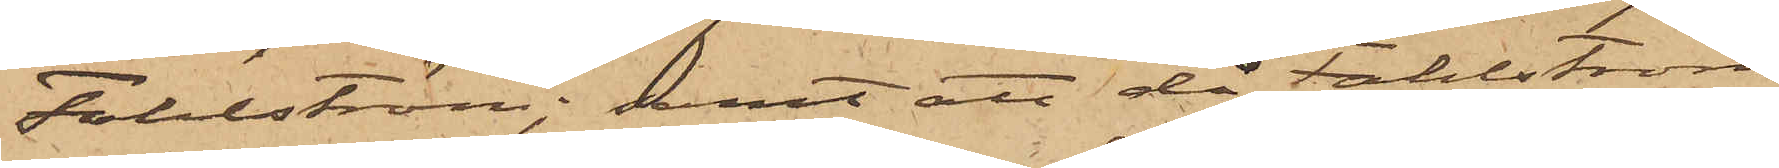Fahlström; samt att då Fahlström
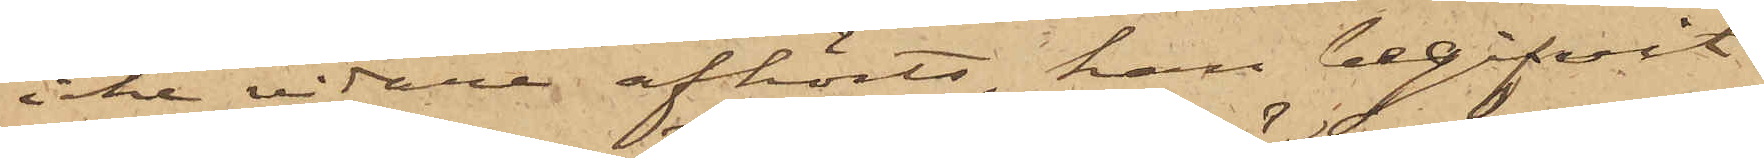icke vidare afhörts, han begifvit
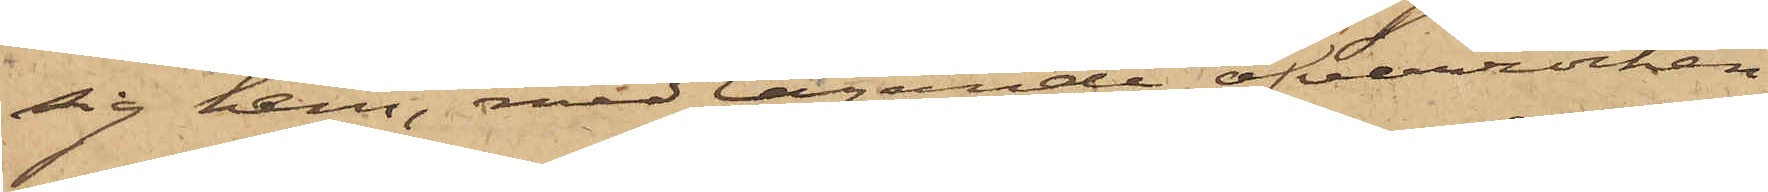sig hem, medtagande öfverrocken.
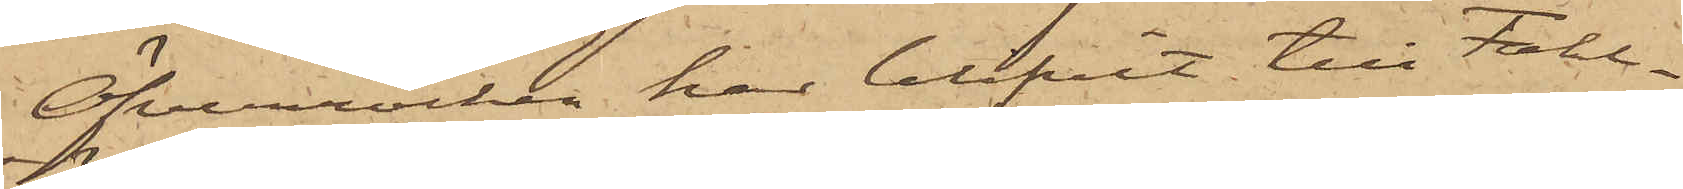Öfverrocken har blifvit till Fahl¬
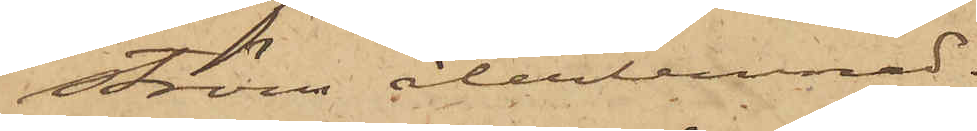ström återlemnad.
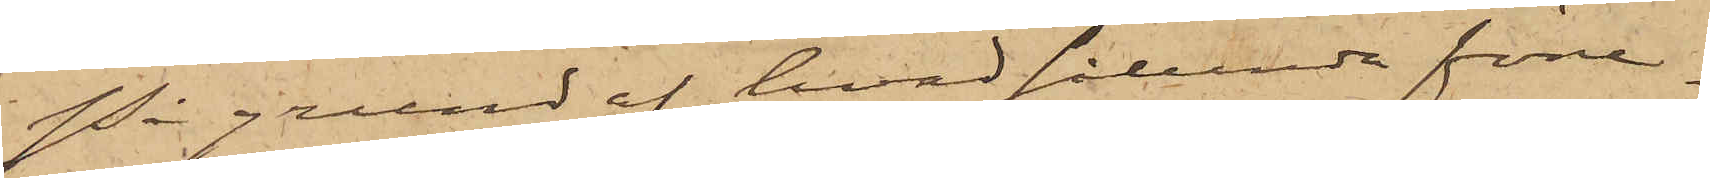På grund af hvad sålunda före¬
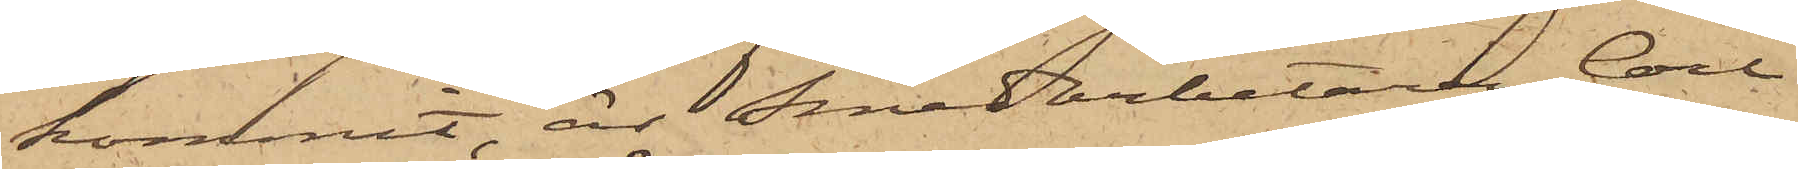kommit, är Smedarbetaren Carl
